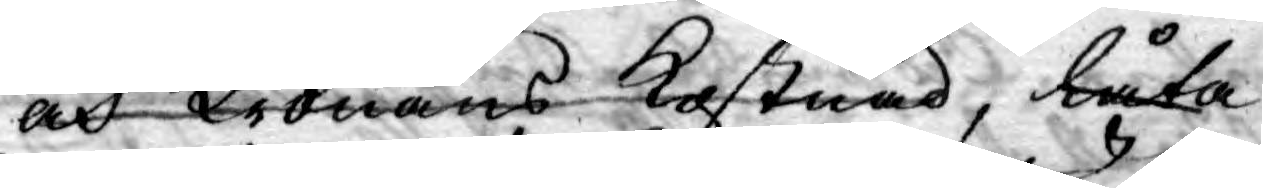och Kronans kostnad, låta
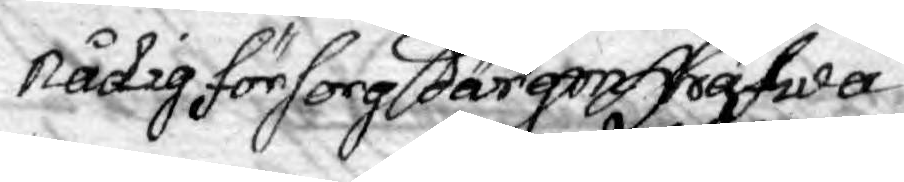Nådig försorg därom hafwa
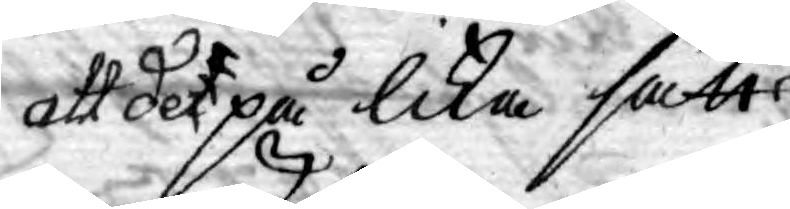at det på lika sätt
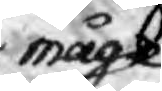måge
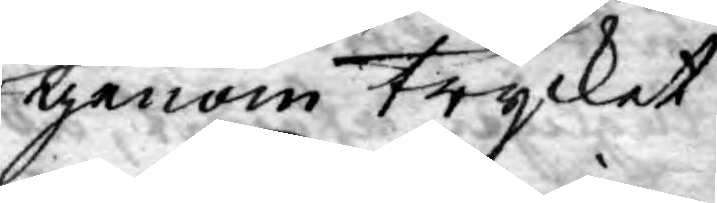igenom trycket
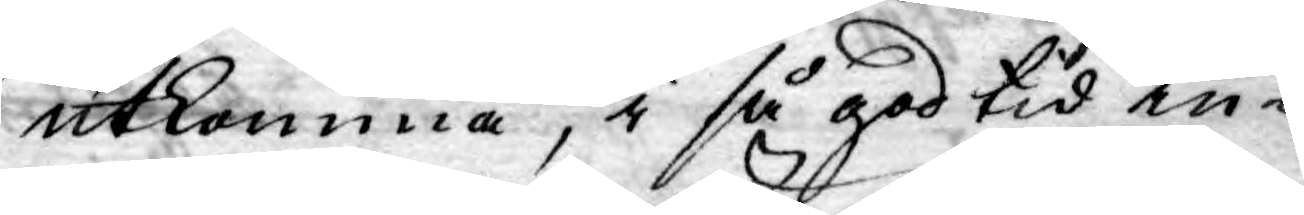utkomma, i så god tid in-
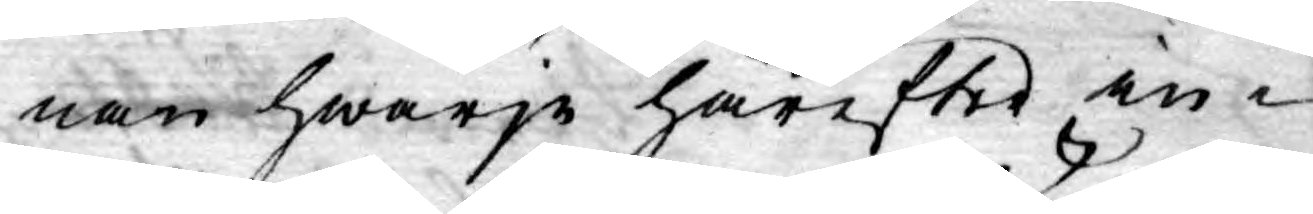nan hwarje härefter in¬
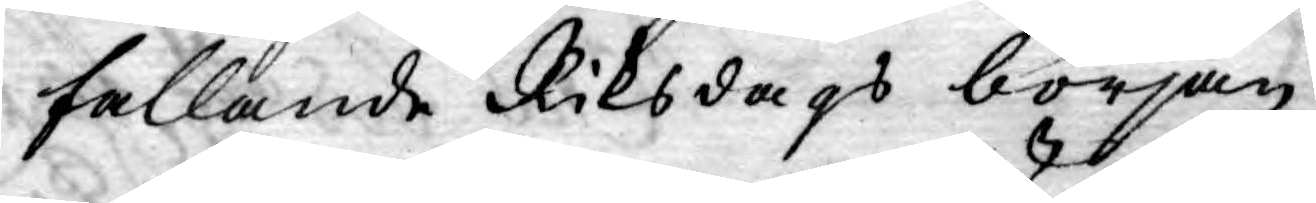fallande Riksdags början,
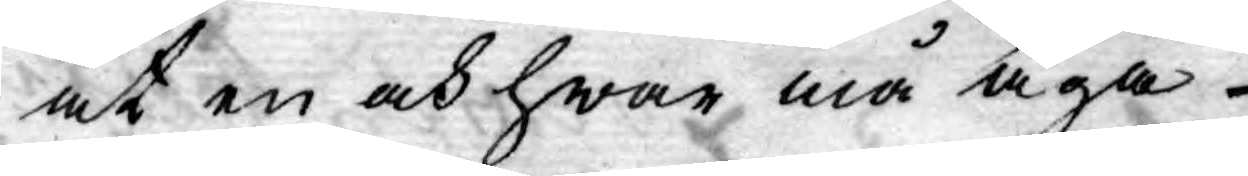at en och hwar må äga
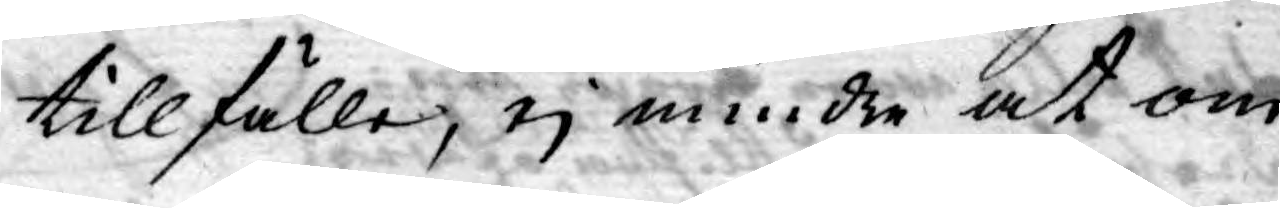tillfälle, ej mindre at om
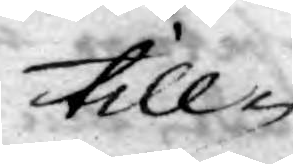till¬
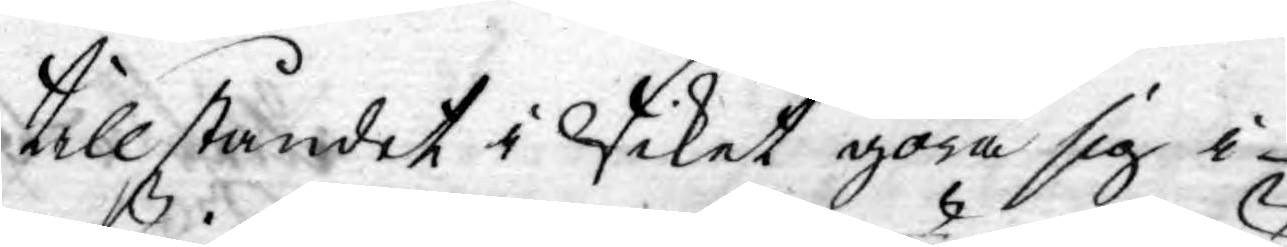tillståndet i Riket göra sig i
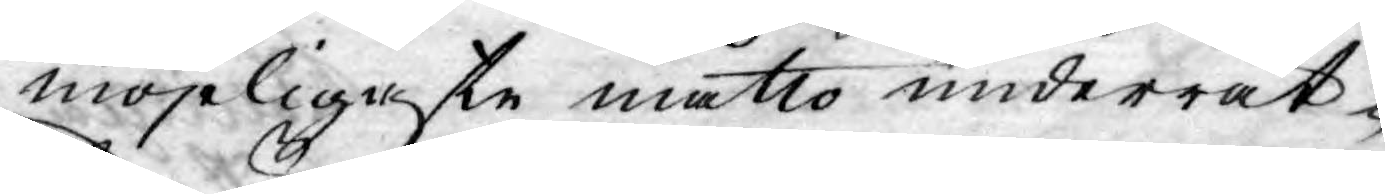möjeligaste måtto underrät¬
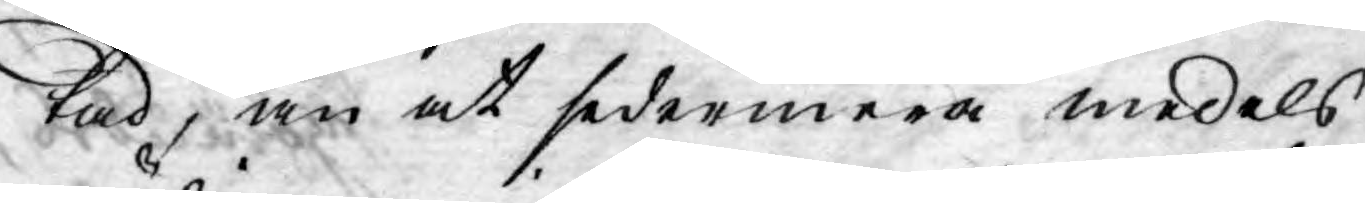tad, än at sedermera medels
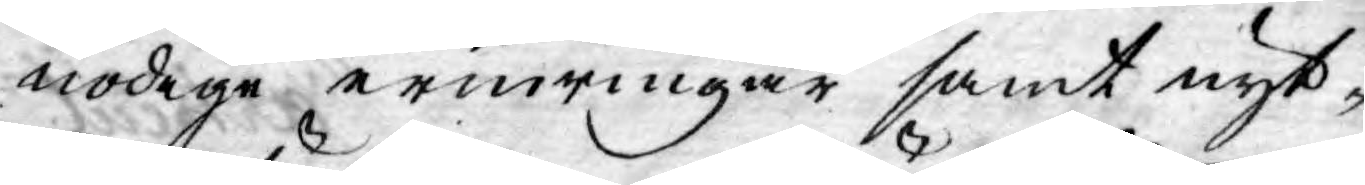nödige erinringar samt nyt¬
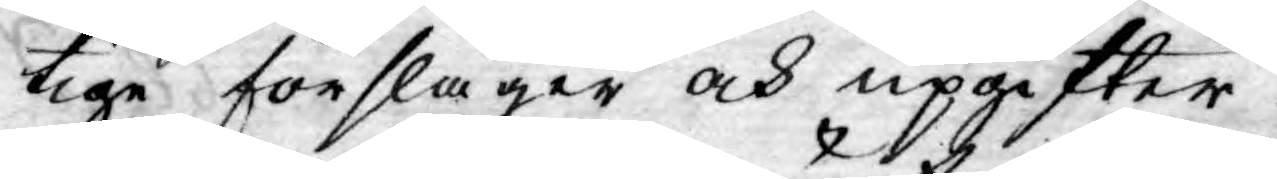tige förslager och upgifter
